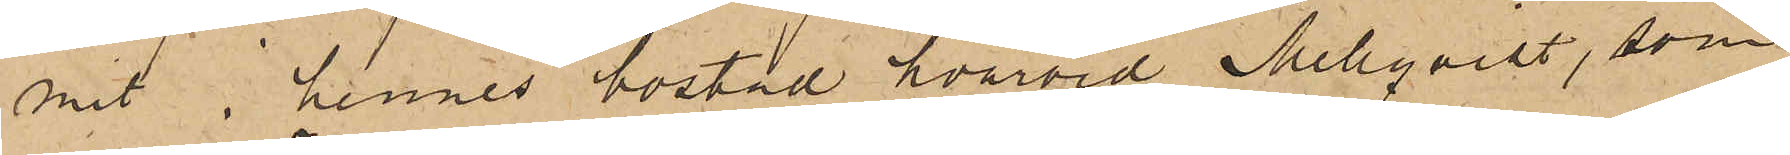mit i hennes bostad, hvarvid Mellqvist, som
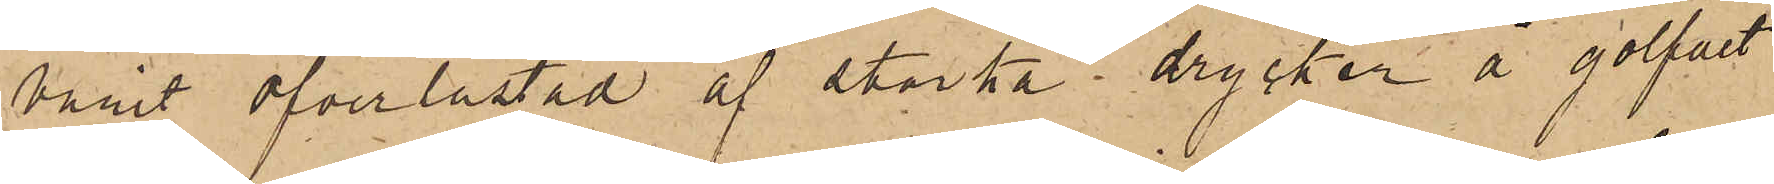varit öfverlastad af starka drycker å golfvet
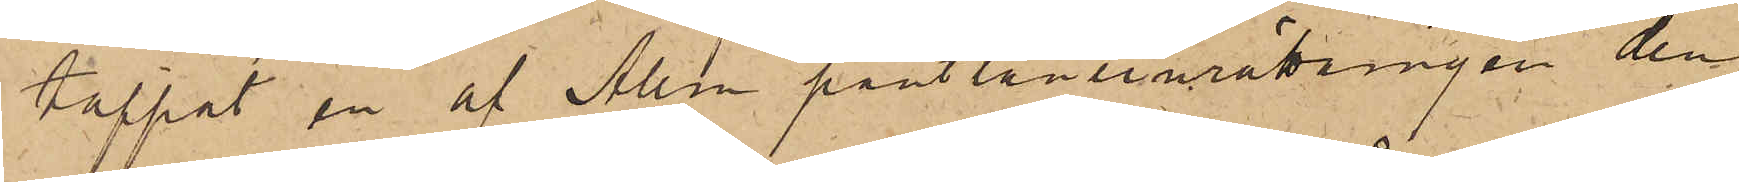tappat en af Allm pantlåneinrättningen den
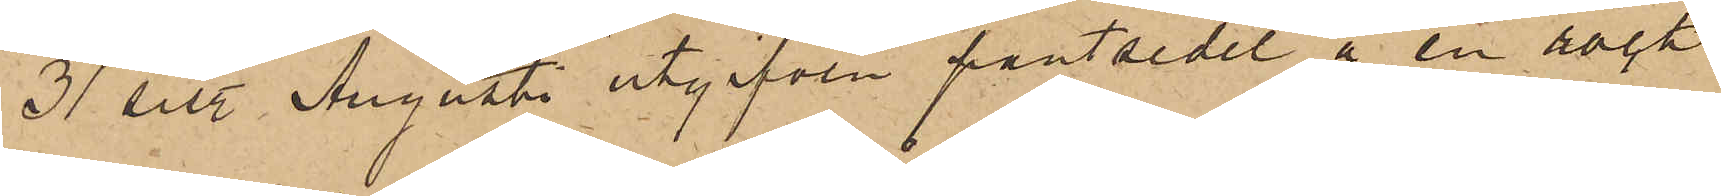31 sistl. Augusti utgifven pantsedel å en rock
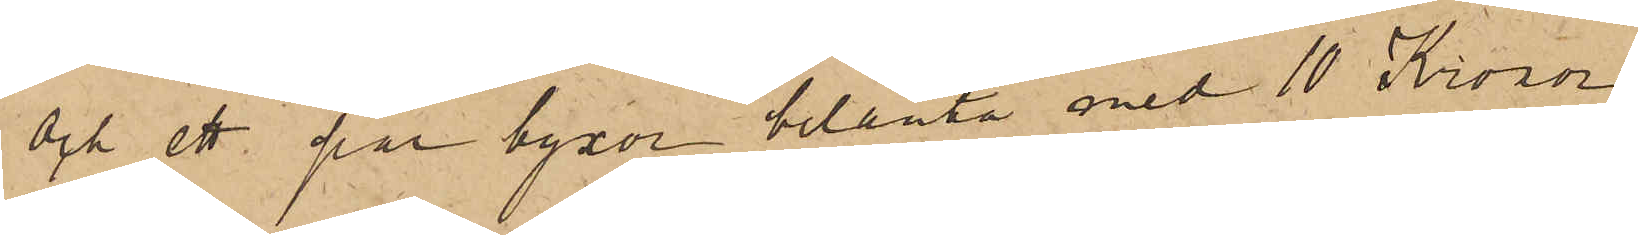och ett par byxor belånta med 10 Kronor.
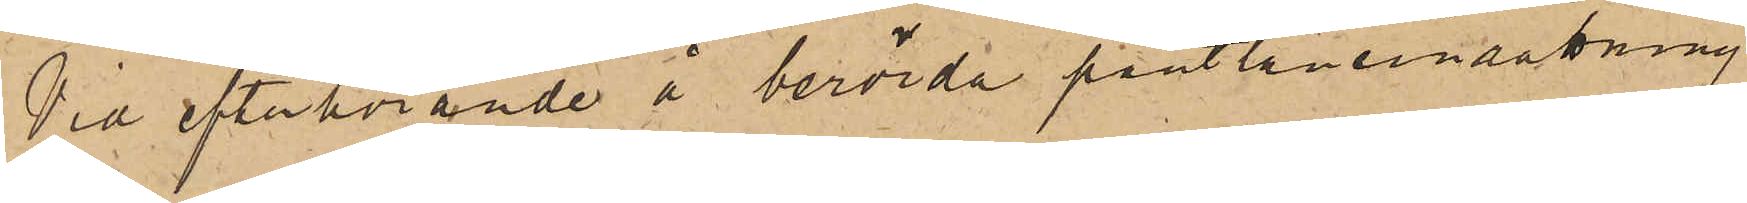Vid efterhörande å berörda pantlåneinrättning
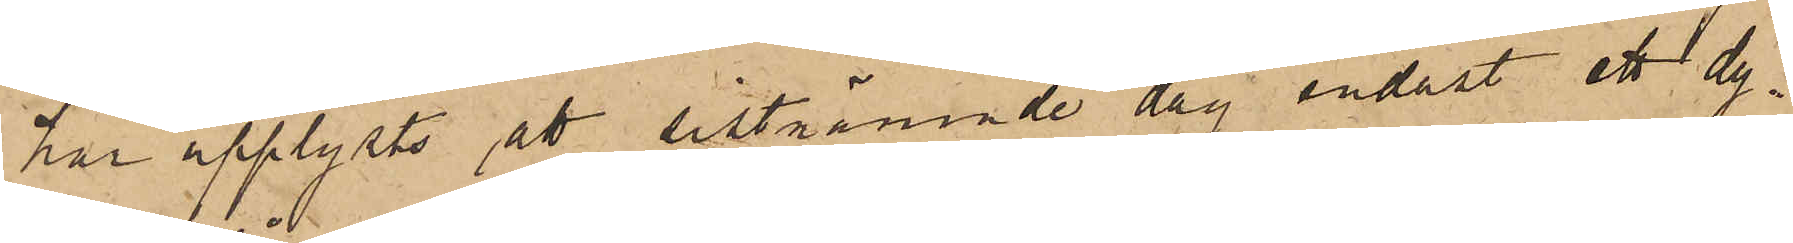har upplysts att sistnämnde dag endast ett dy¬
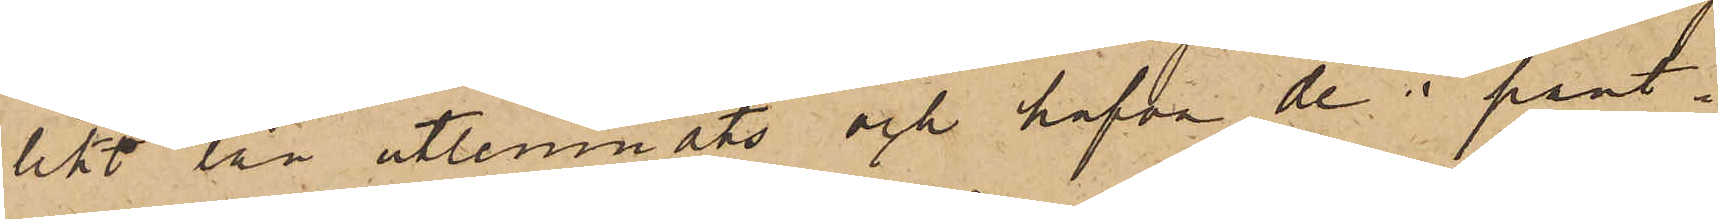likt lån utlemnats och hafva de i pant¬
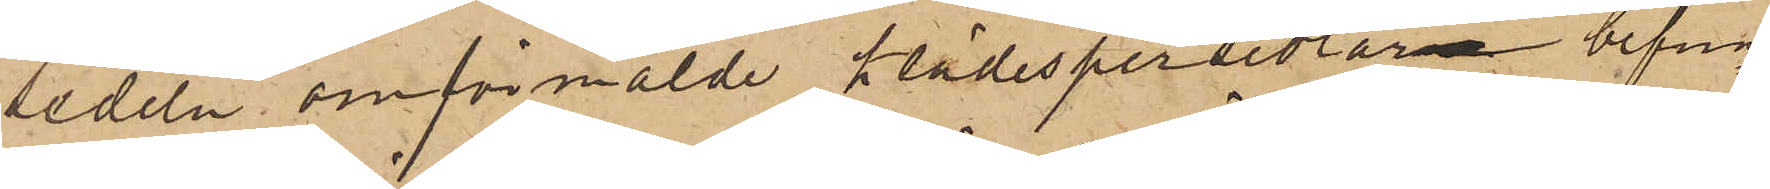sedeln omförmälde klädespersedlarne befun¬
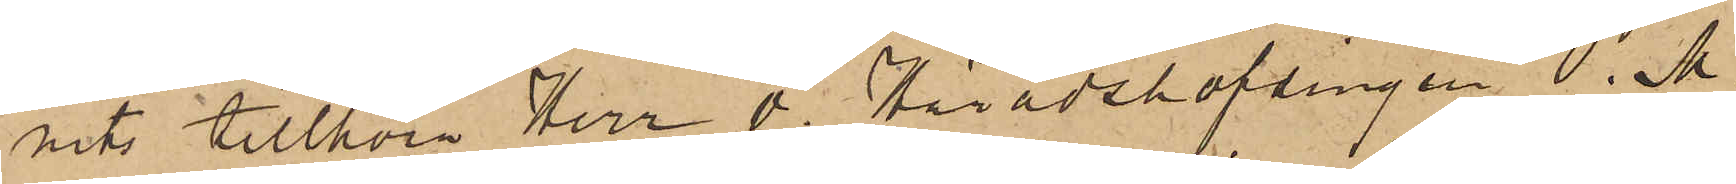nits tillhöra Herr v. Häradshöfdingen O. M.
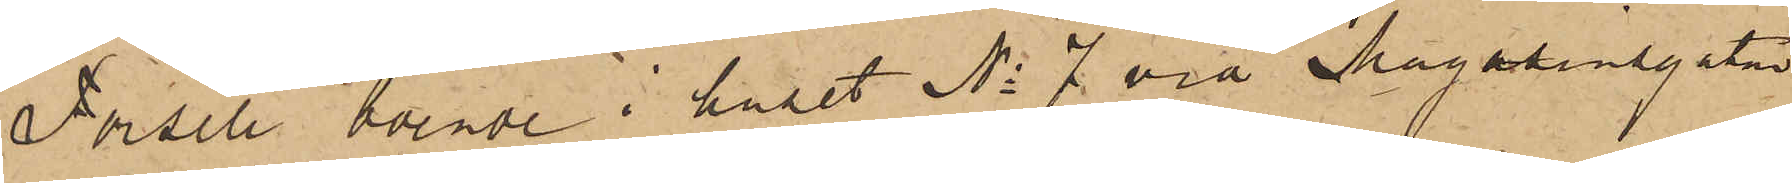Forsell boende i huset No 7 vid Magasinsgatan
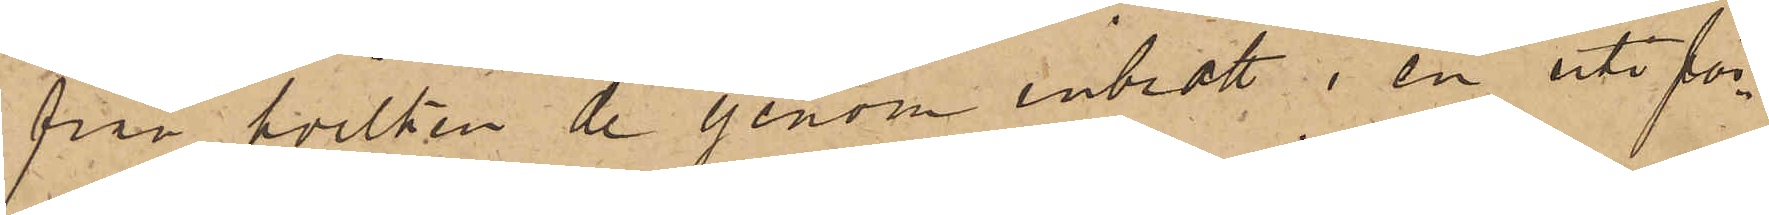från hvilken de genom inbrott i en uti för¬
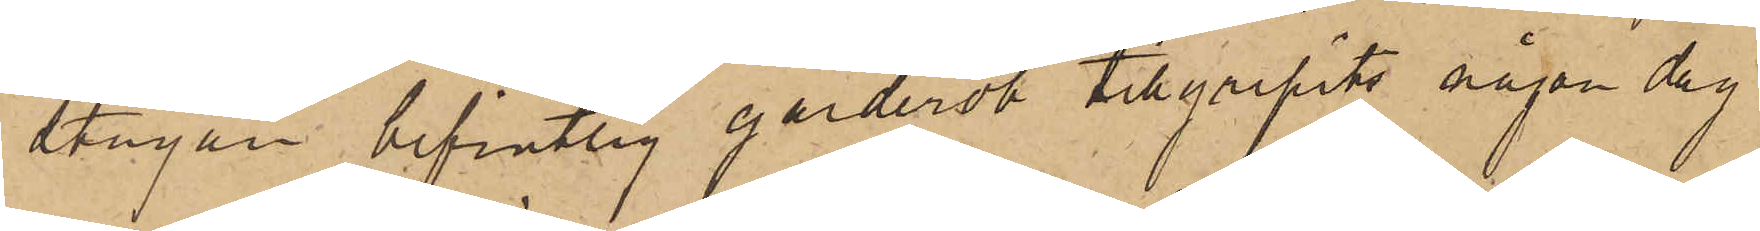stugan befintlig garderob tillgripits någon dag
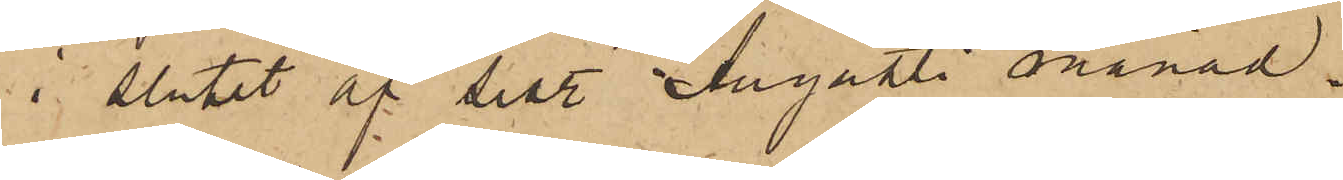i slutet af sistl. Augusti månad.
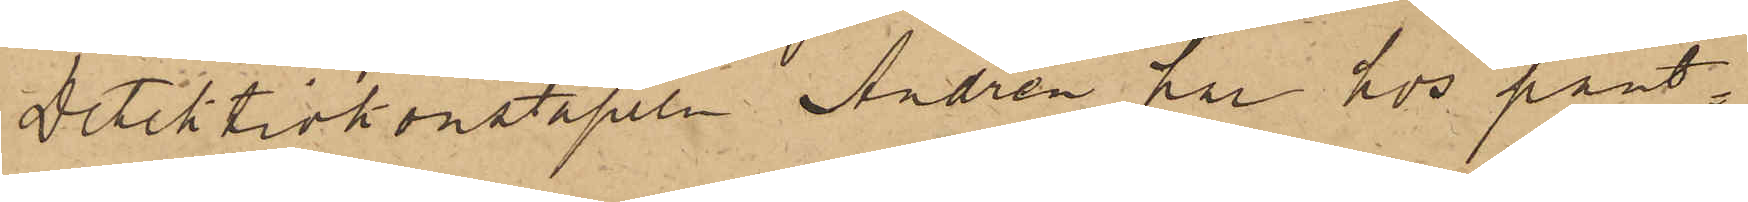Detektivkonstapeln Andrén har hos pant¬
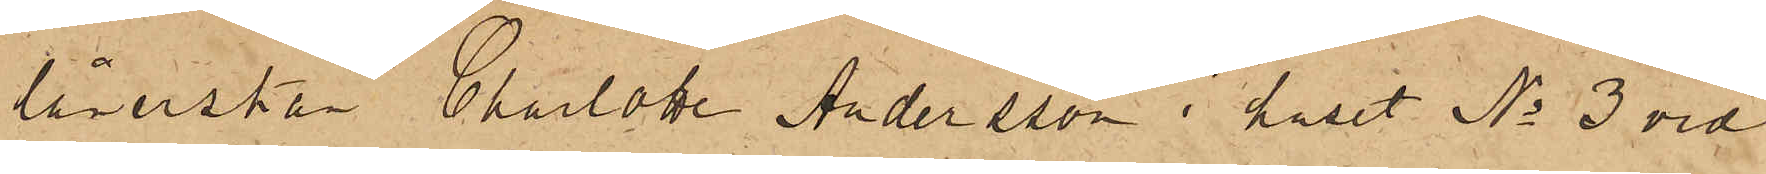lånerskan Charlotte Andersson i huset No 3 vid
